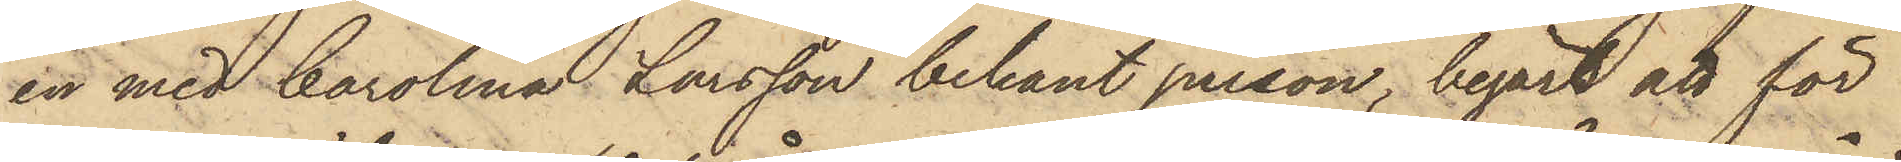en med Carolina Larsson bekant person, begärt att för
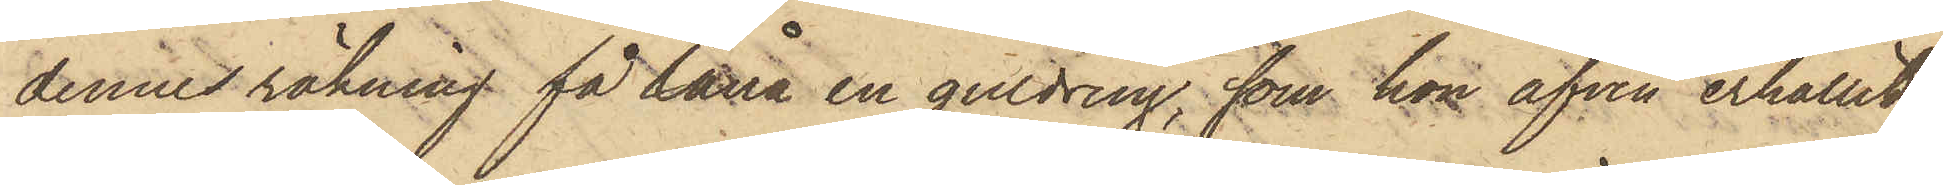dennes räkning få låna en guldring, som hon äfven erhållit,
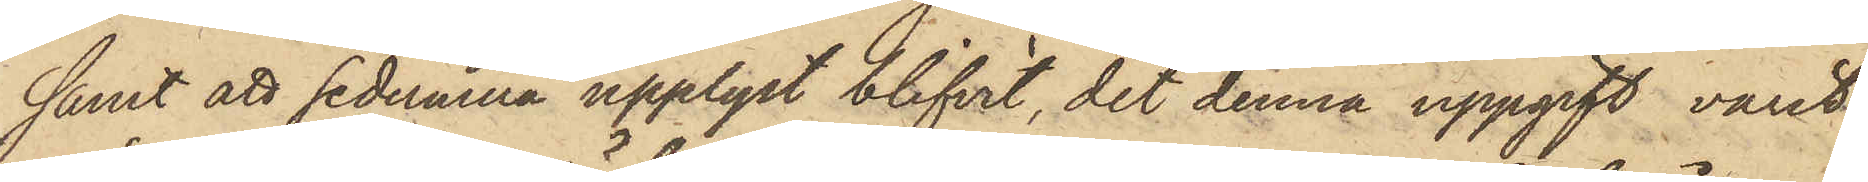samt att sedermera upplyst blifvit, det denna uppgift varit
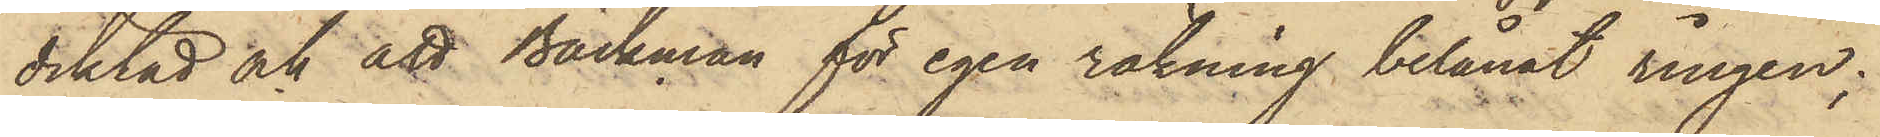diktad och att Bäckman för egen räkning belånat ringen;
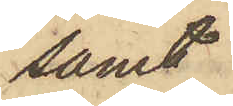samt
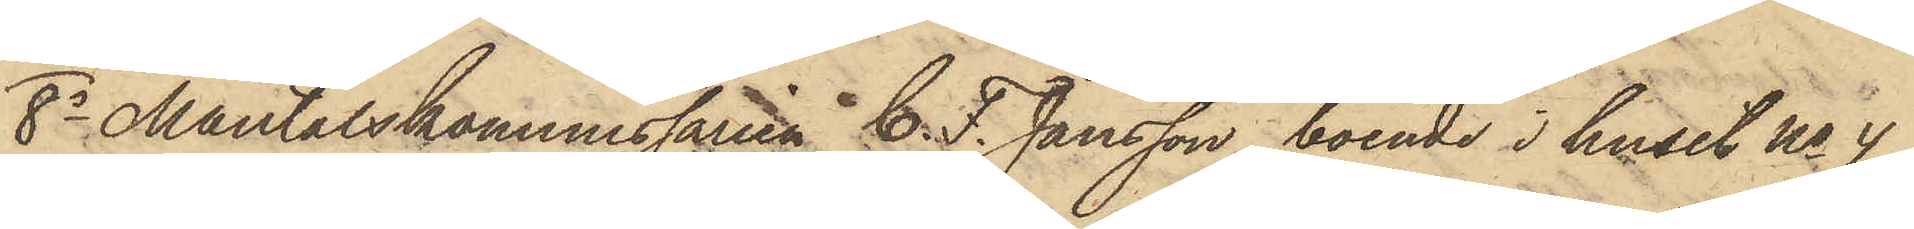8o Mantalskommissaren C. F. Jansson, boende i huset No 4
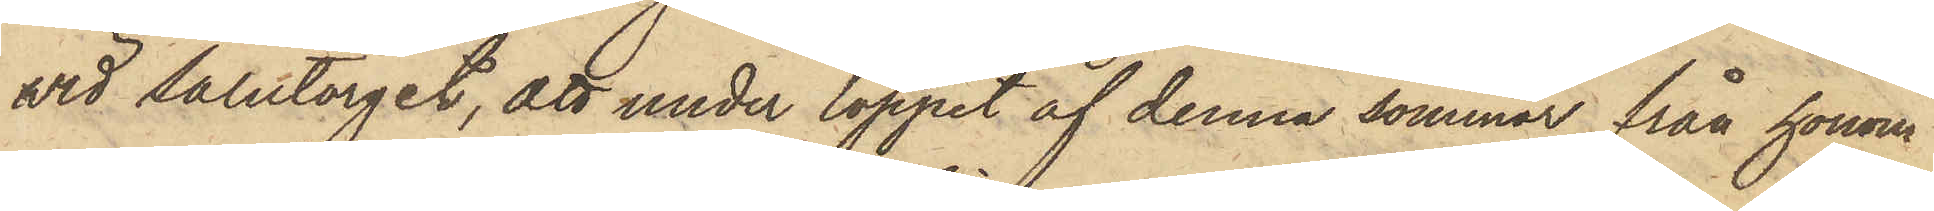vid Salutorget, att under loppet af denna sommar från honom
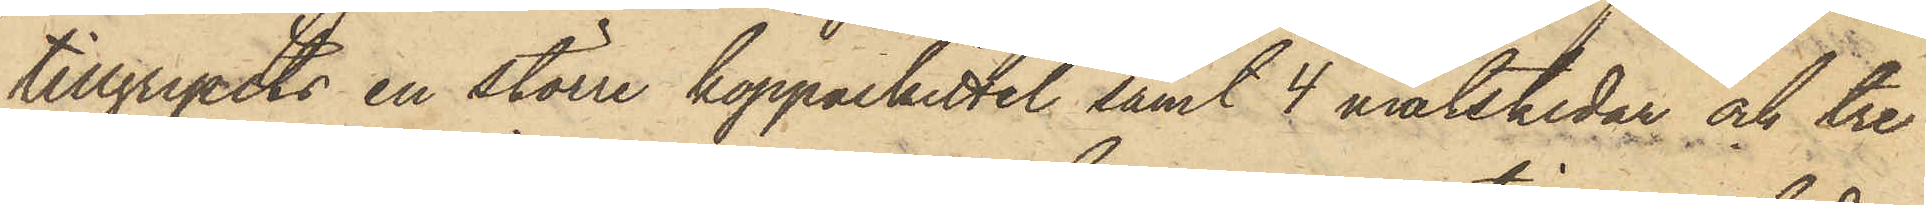tillgripits en större kopparkittel samt 4 matskedar och tre
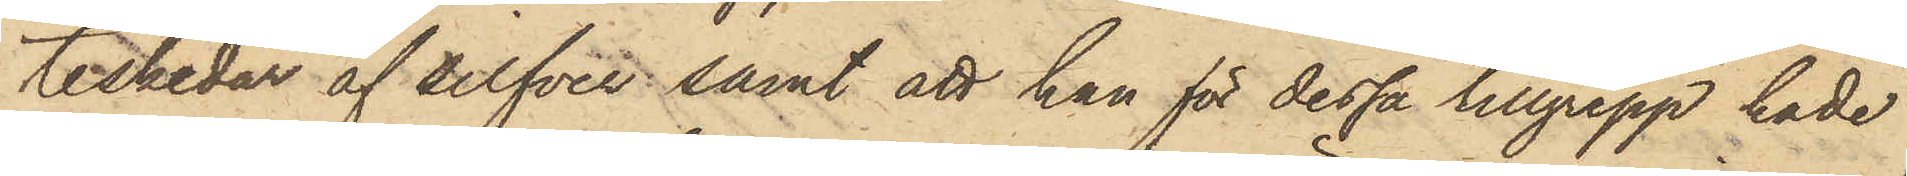teskedar af silfver samt att han för dessa tillgrepp hade
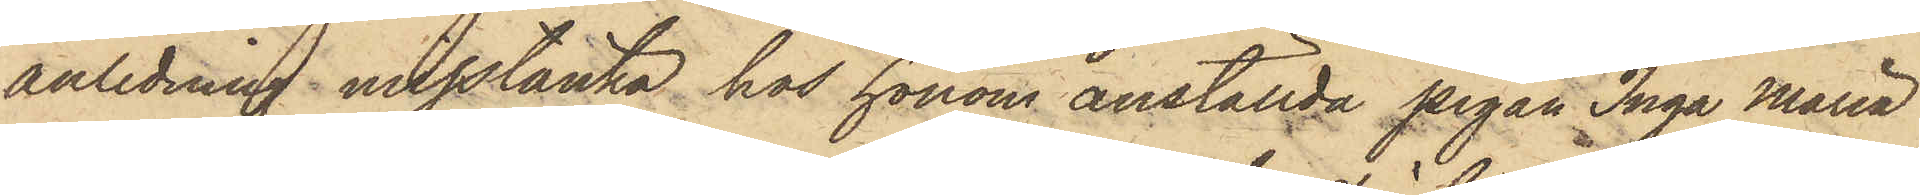anledning misstänka hos honom anställda pigan Inga Maria
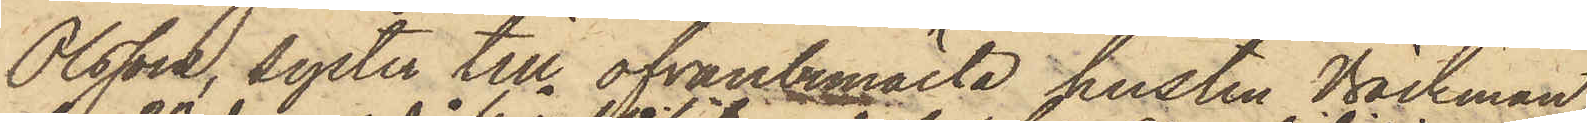Olsson, syster till ofvanbemälte hustru Bäckman,
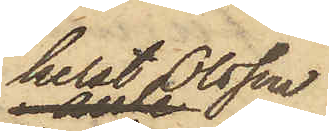helst Olsson
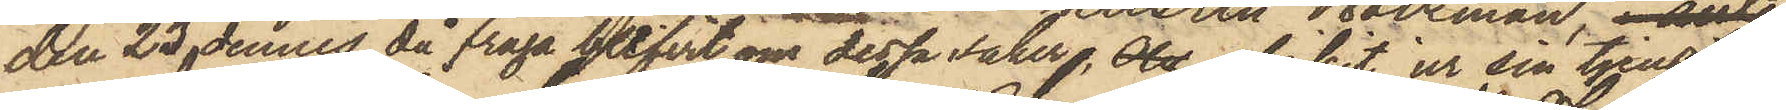den 23 dennes, då fråga blifvit om dessa saker, Ols afvikit ur sin tjenst.
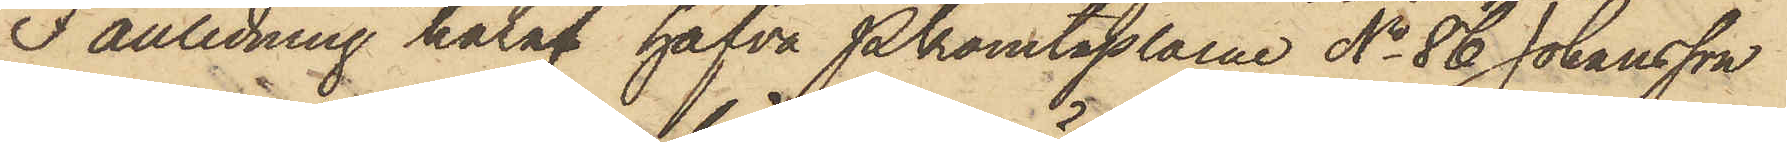I anledning häraf hafva Pkonstaplarne No 86 Johansson
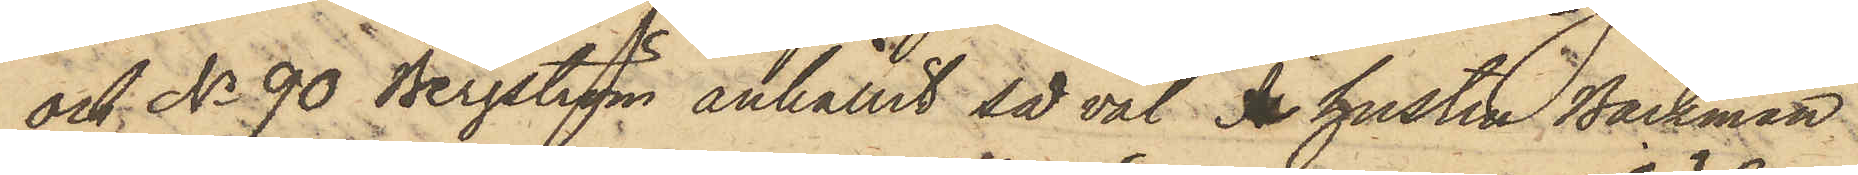och No 90 Bergström anhållit så väl I hustru Bäckman
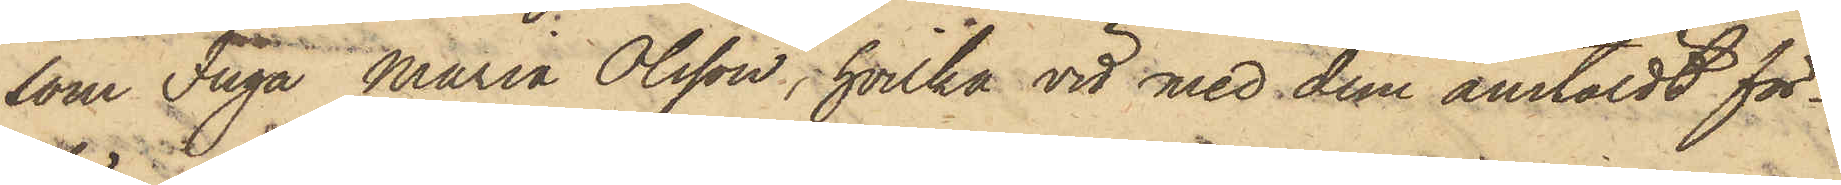som Inga Maria Olsson, hvilka vid med dem anstäldt för¬
